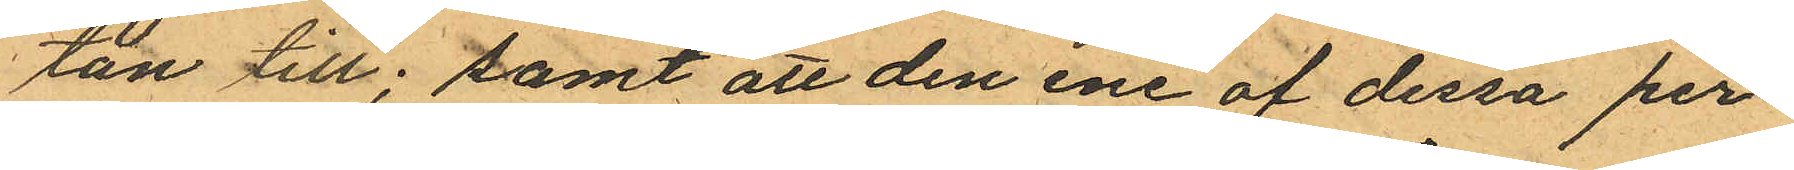tan till; samt att den ene af dessa per¬
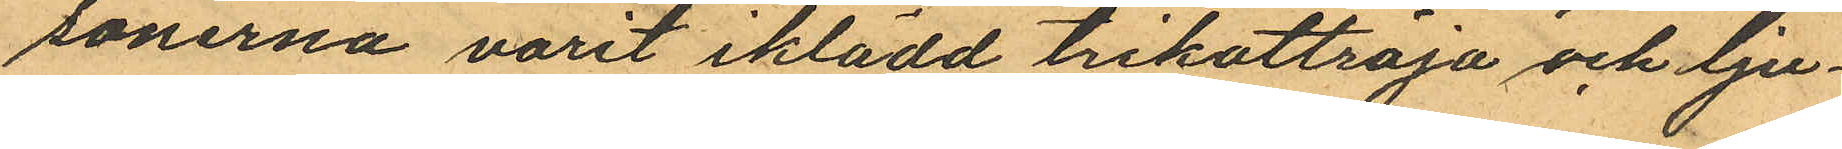sonerna varit iklädd trikottröja och lju¬
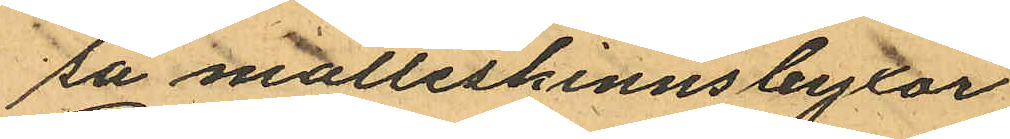sa molleskinnsbyxor.
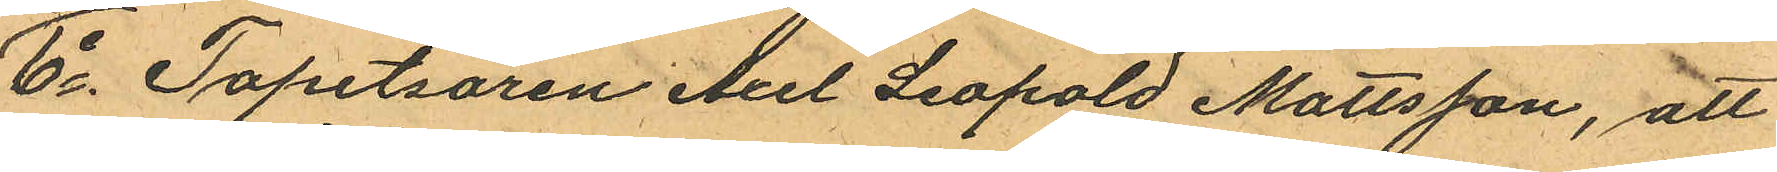6o Tapetsören Axel Leopold Mattsson, att
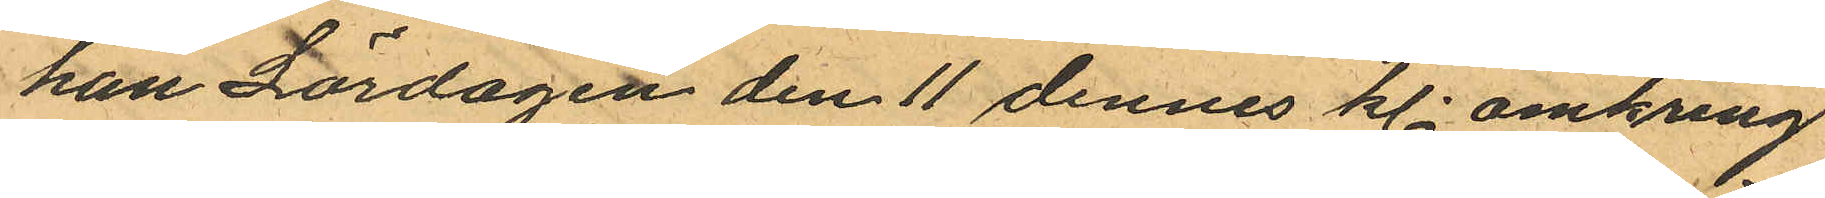han Lördagen den 11 dennes kl. omkring
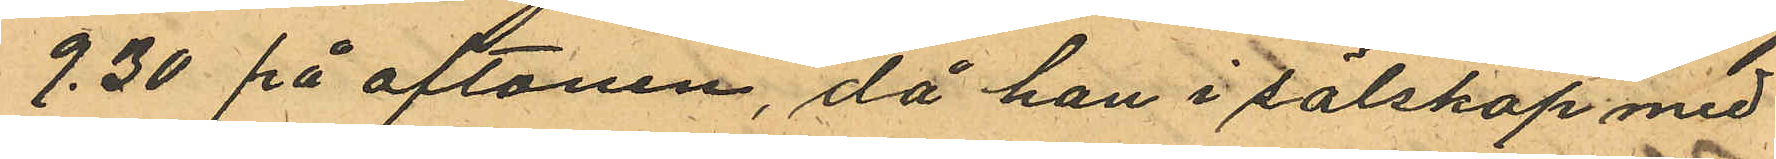9.30 på aftonen, då han i sälskap med
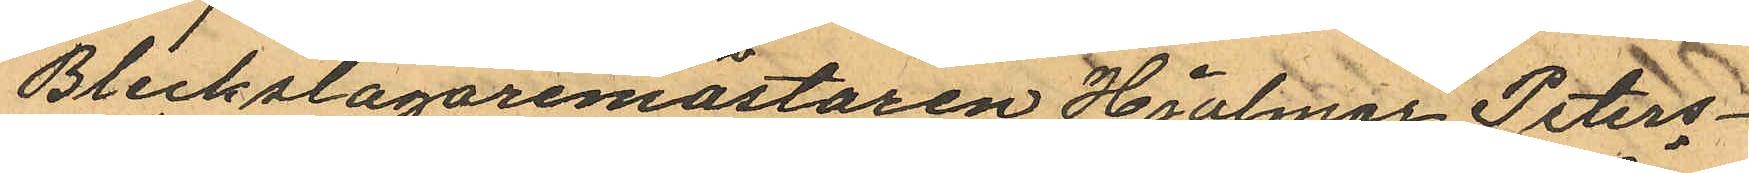Bleckslagaremästaren Hjalmar Peters¬
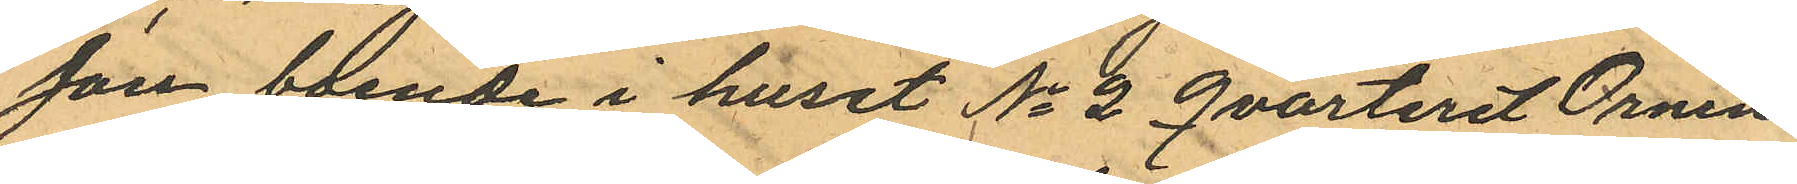son boende i huset No 2 Qvarteret Örnen
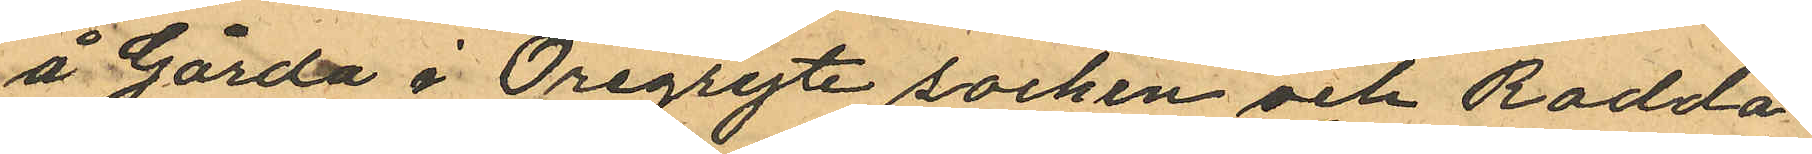å Gårda i Öregryte socken och Rodda¬
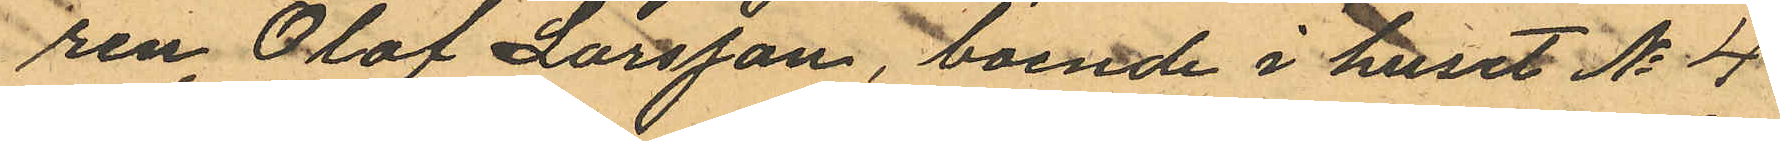ren Olof Larsson, boende i huset No 4
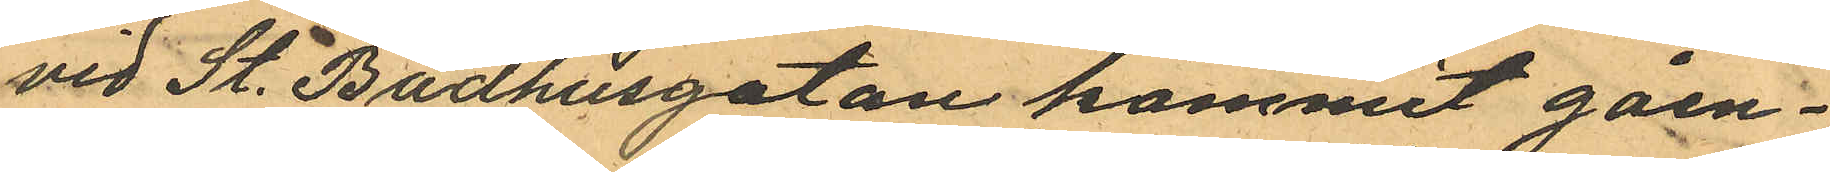vid St. Badhusgatan kommit gåen¬
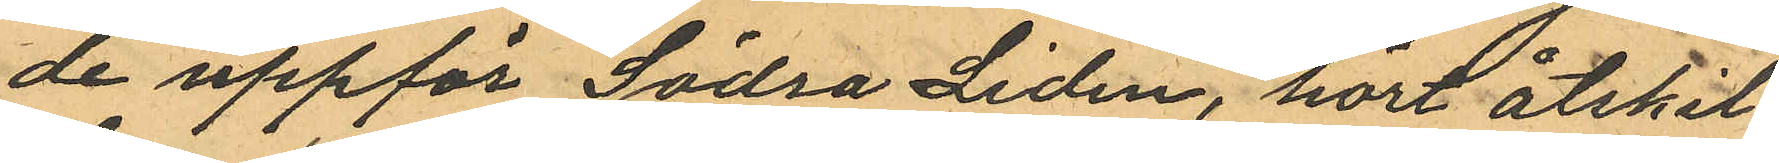de uppför Södra Liden, hört åtskil¬
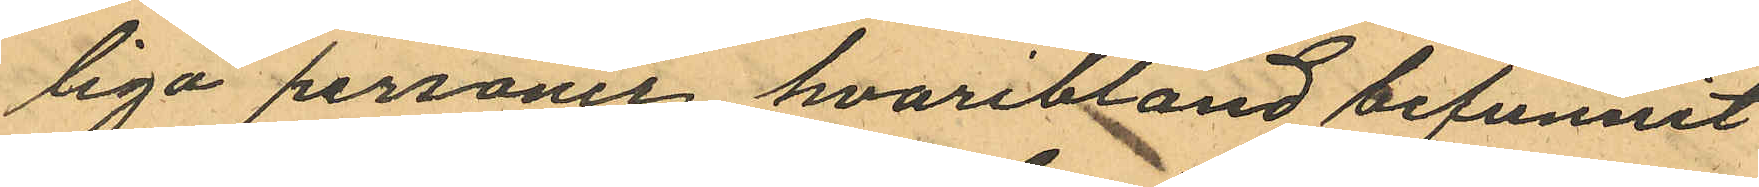liga personer hvaribland befunnit
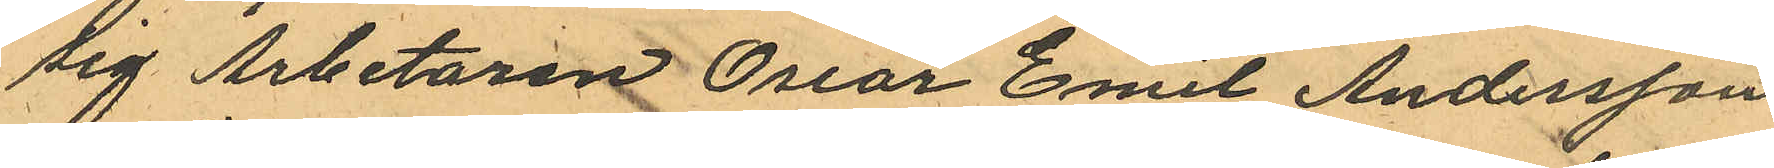sig Arbetaren Oscar Emil Andersson
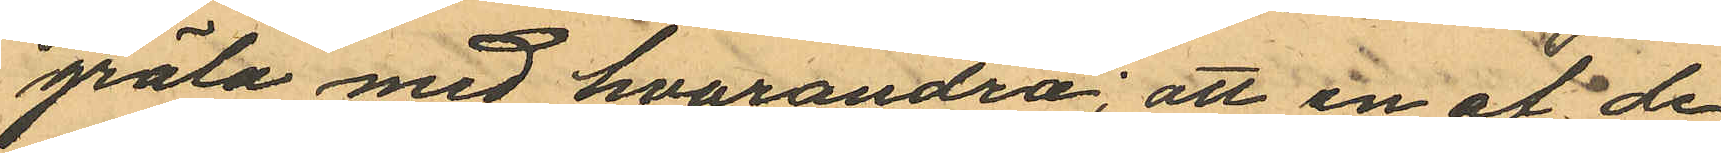gräla med hvarandra; att en af de
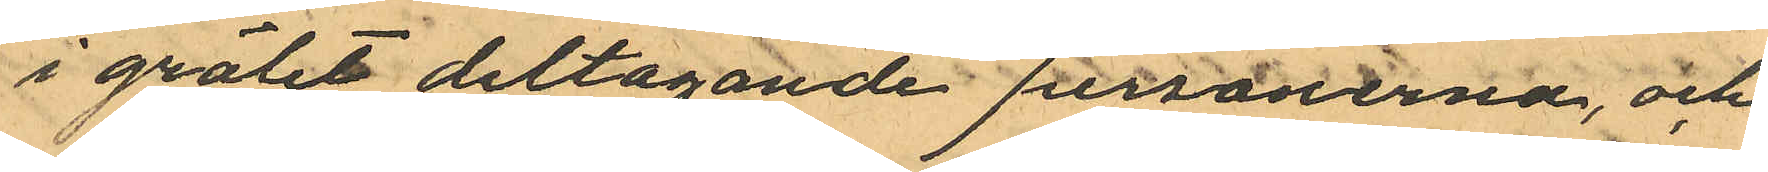i grälet deltagande personerna, och
